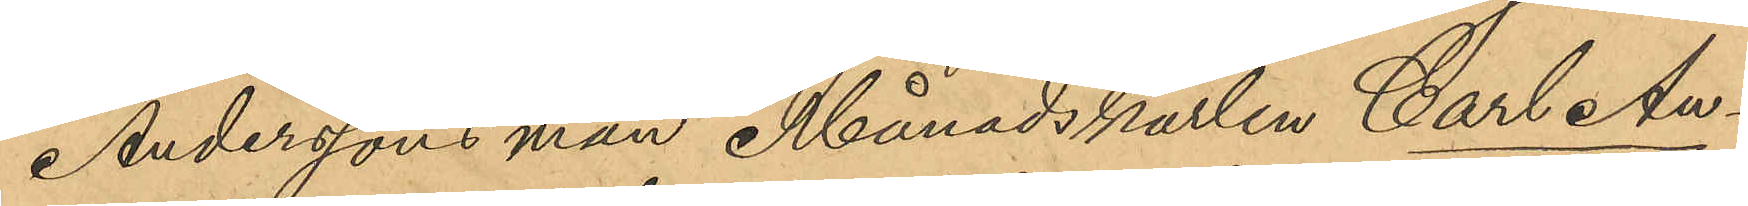Anderssons man Månadskarlen Carl An¬
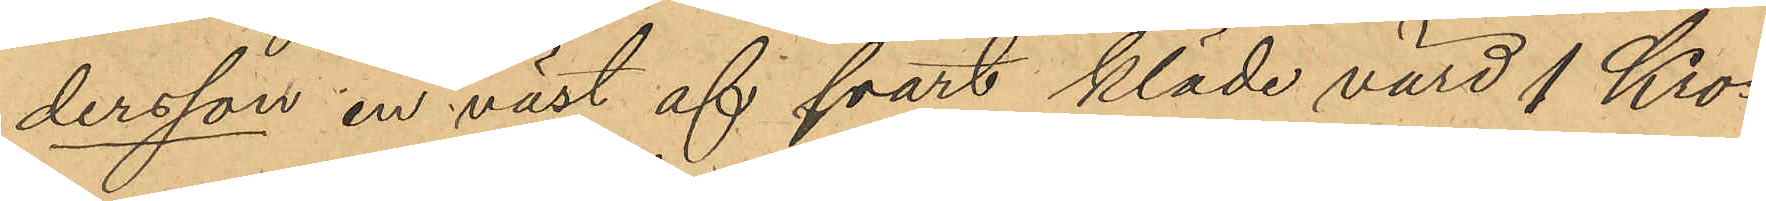dersson en väst af svart kläde värd 1 Kro¬
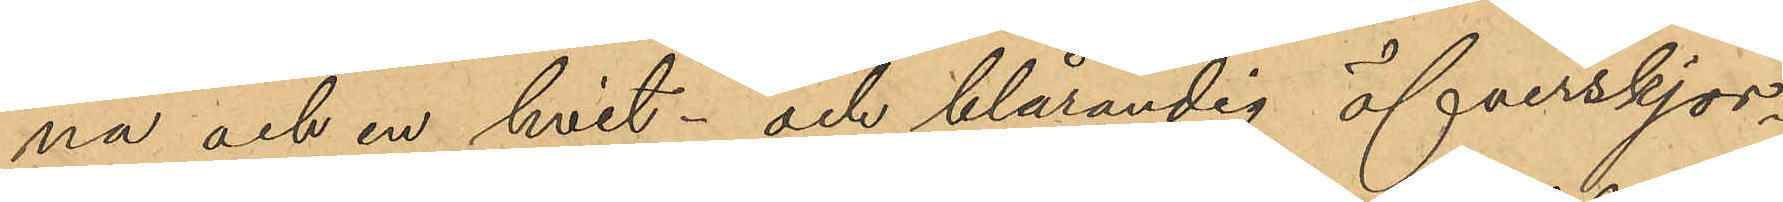na och en hvit- och blårandig öfverskjor¬
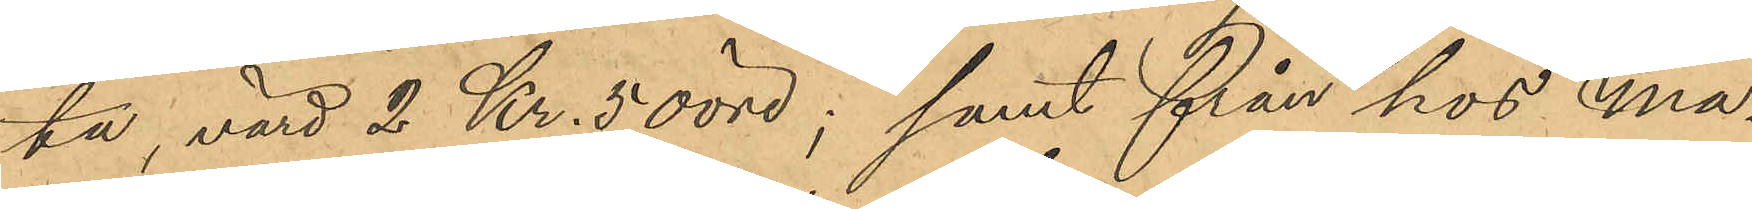ta, värd 2 Kr. 50 öre; samt från hos Ma¬
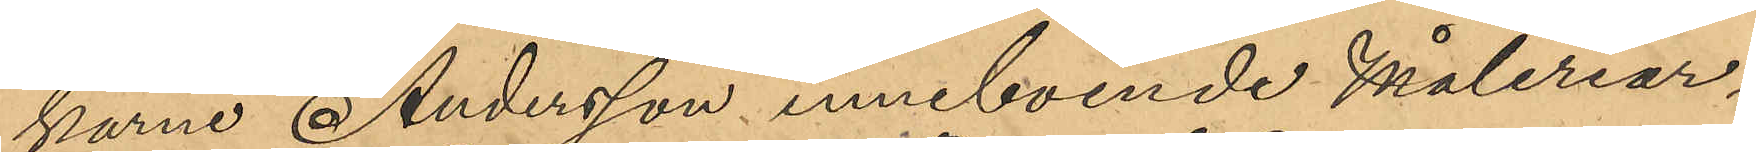karne Andersson inneboende Måleriar¬
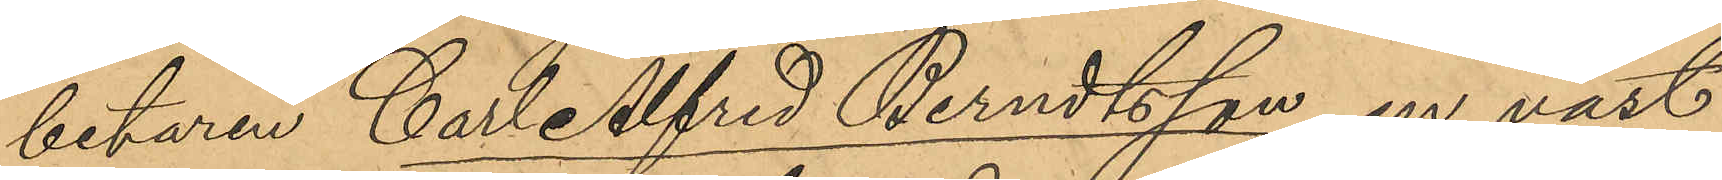betaren Carl Alfred Berndtsson, en väst
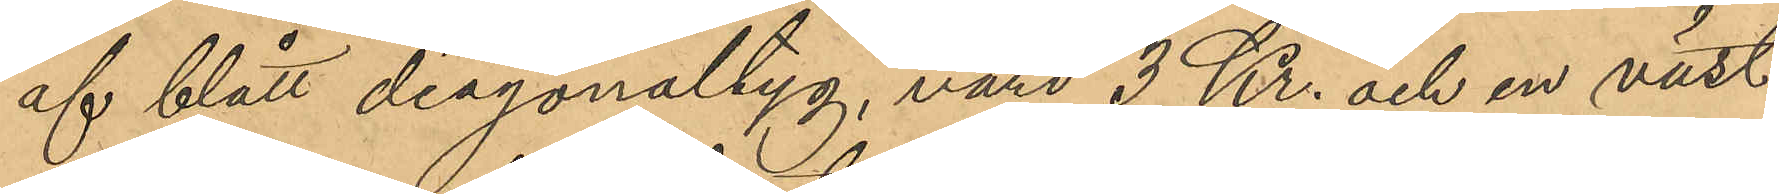af blått diagonaltyg, värd 3 Kr. och en väst
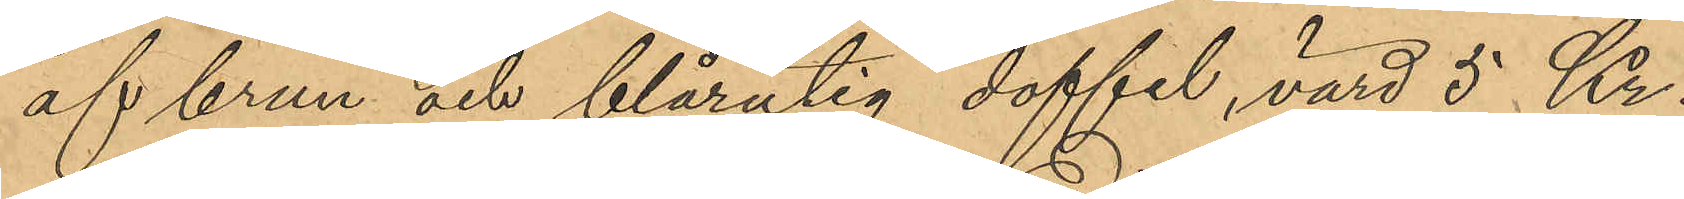af brun och blårutig doffel, värd 5 Kr.
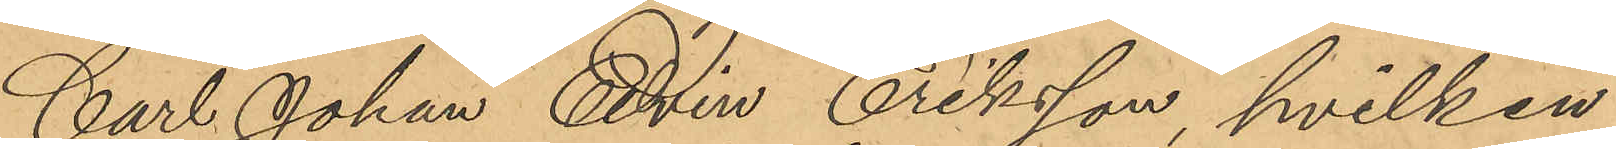Carl Johan Edvin Eriksson, hvilken
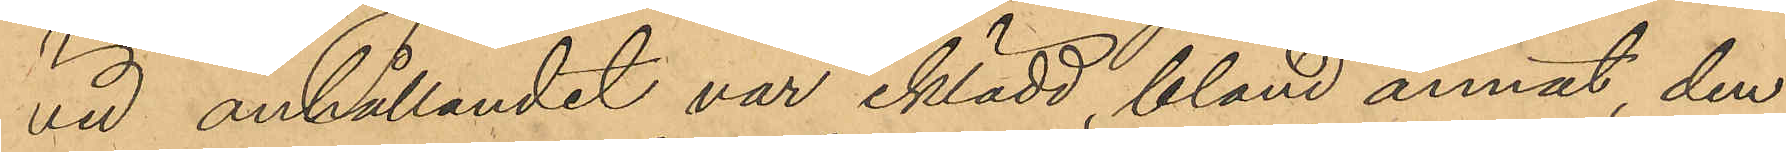vid anhållandet var iklädd, bland annat, den
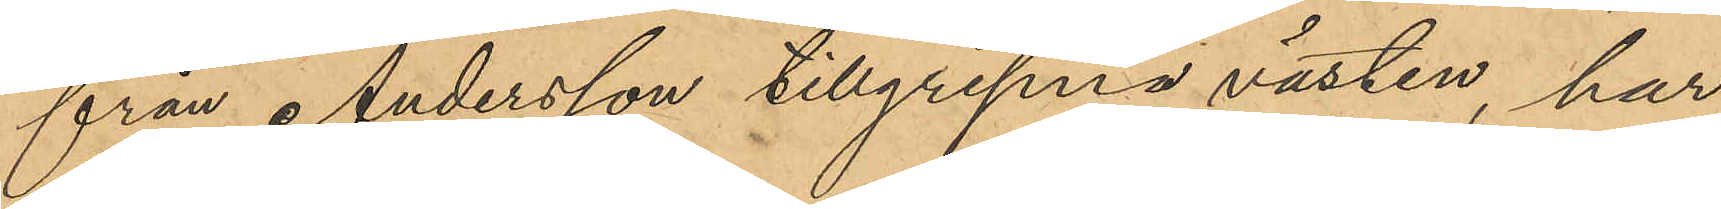från Andersson tillgripna västen, har
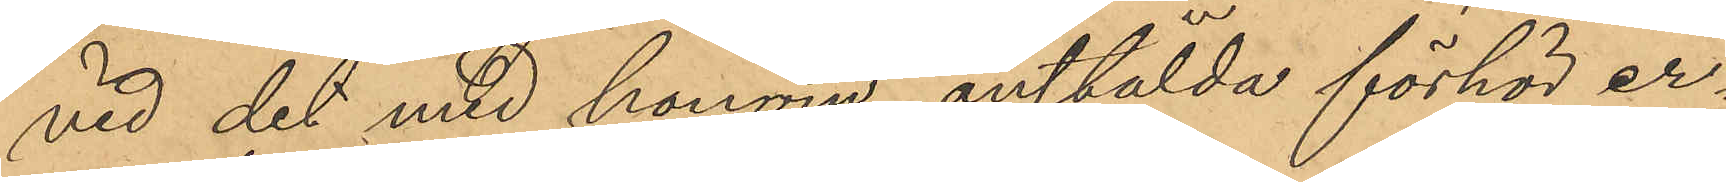vid det med honom anstälda förhör er¬
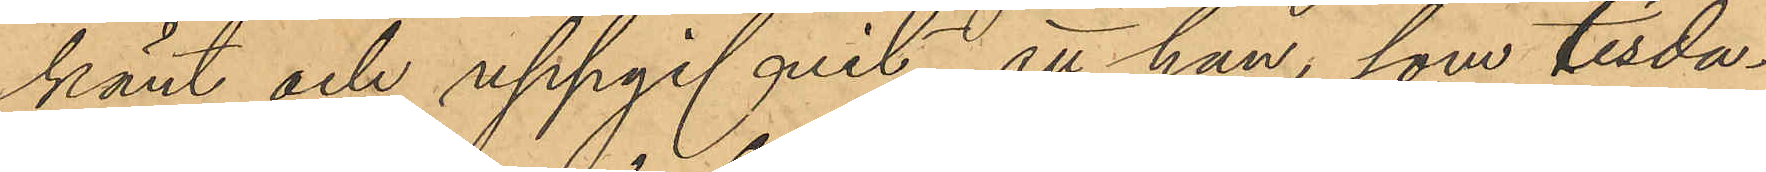känt och uppgifvit, att han, som tisda¬
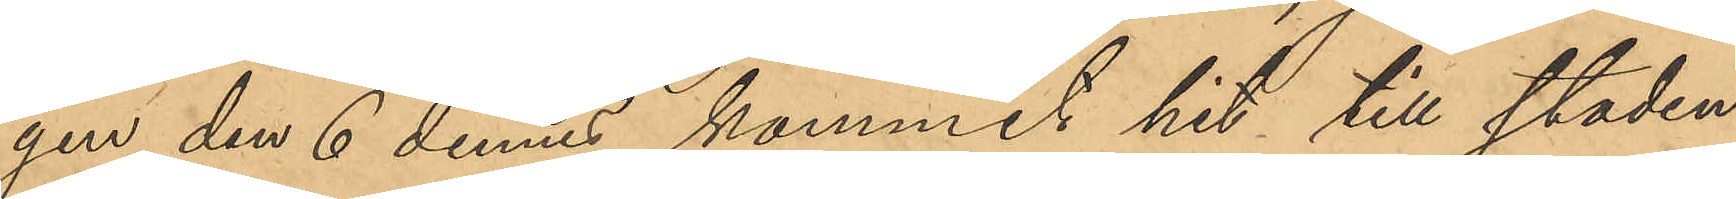gen den 6 dennes kommit hit till staden
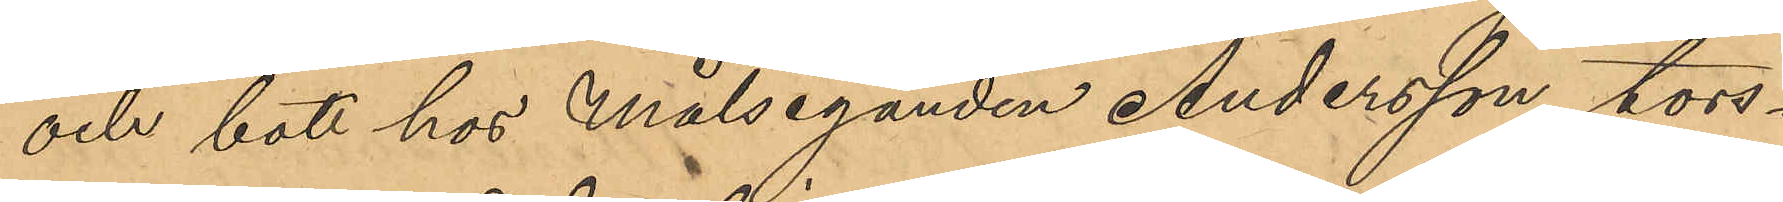och bott hos Målseganden Andersson, tors¬
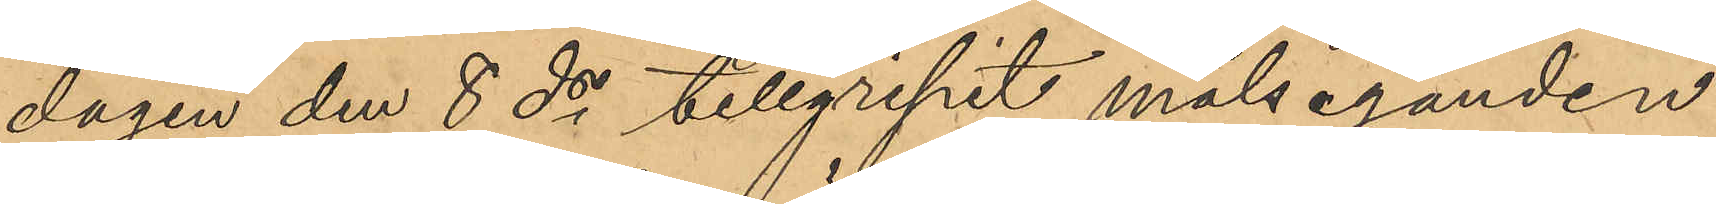dagen den 8 ds tillgripit målseganden
